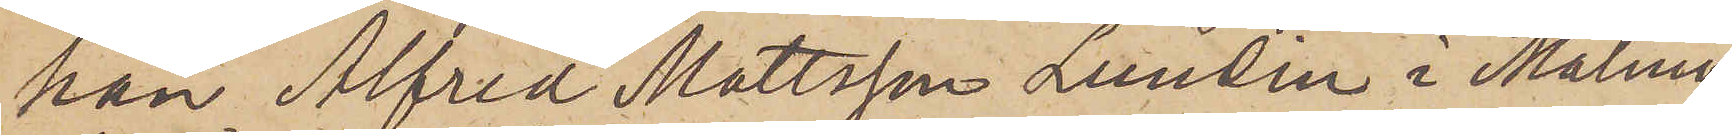han Alfred Mattsson Lundin i Malmö
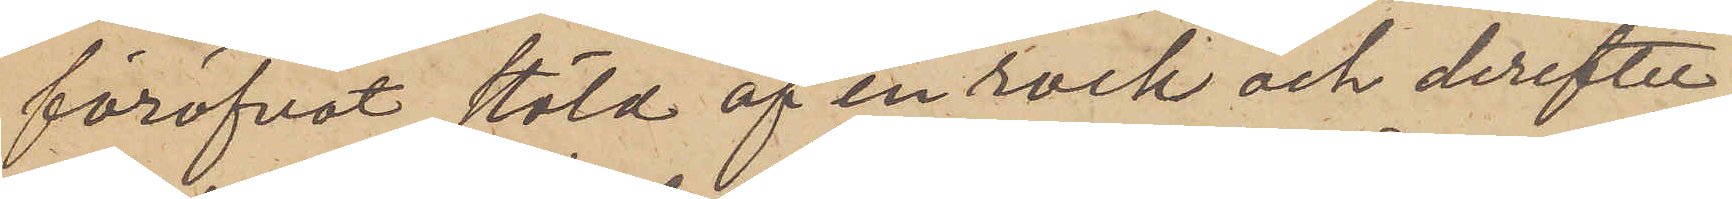föröfvat stöld af en rock och derefter
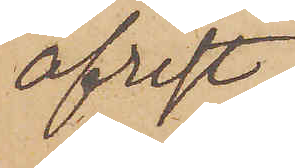afrest
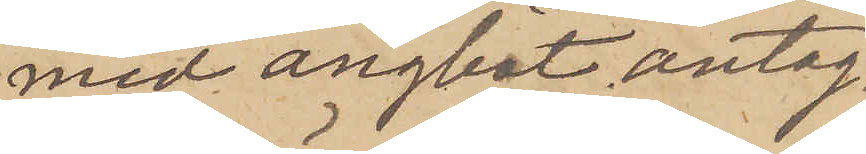med ångbåt antag¬
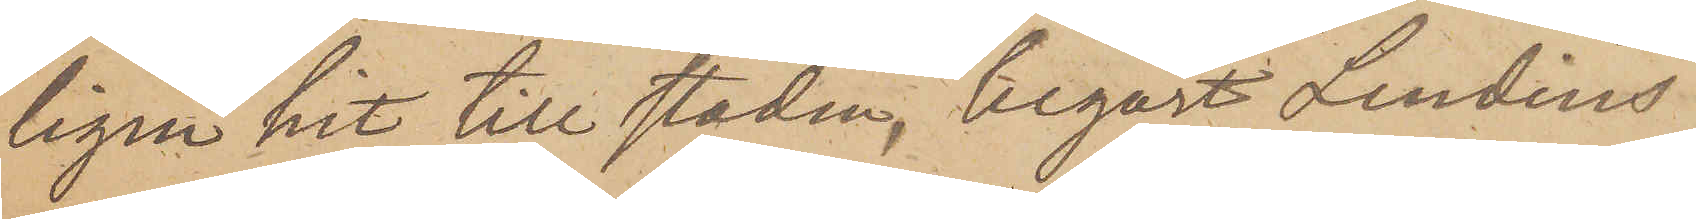ligen hit till staden, begärt Lundins
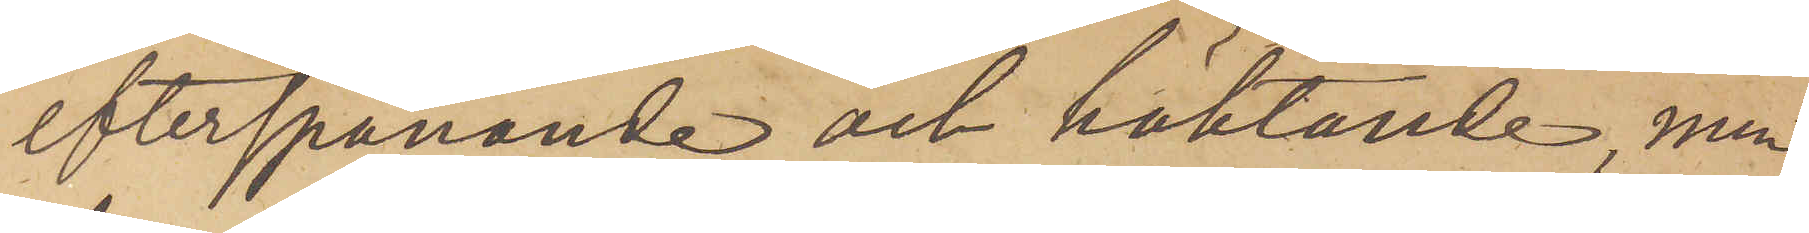efterspanande och häktande, men
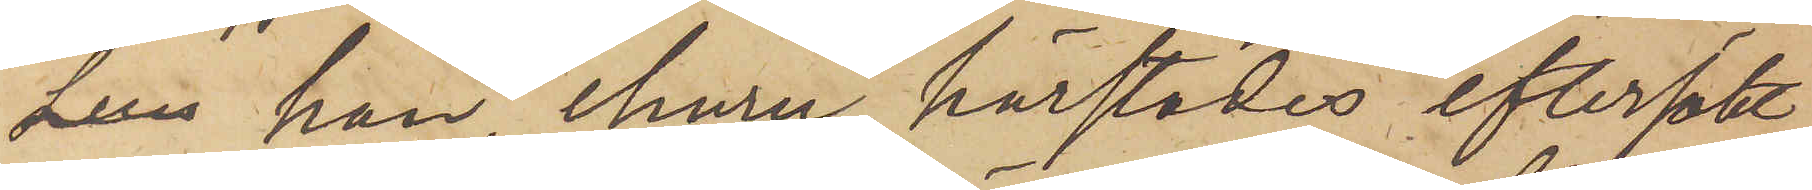sun han, ehuru härstädes eftersökt,
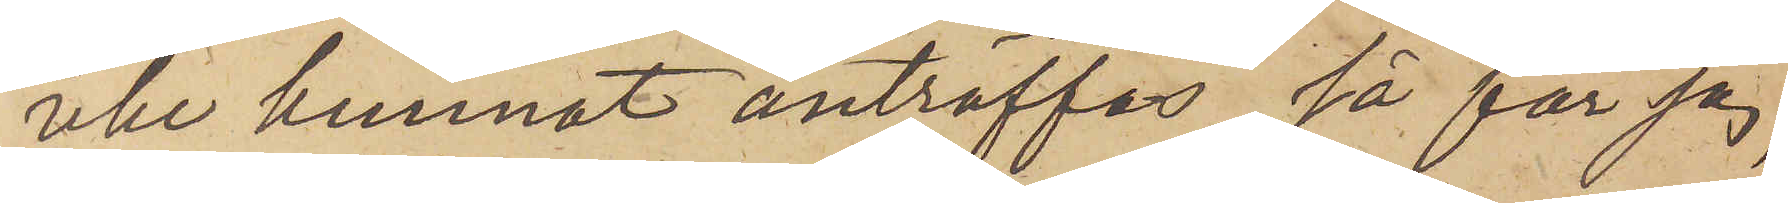icke kunnat anträffas, så får jag,
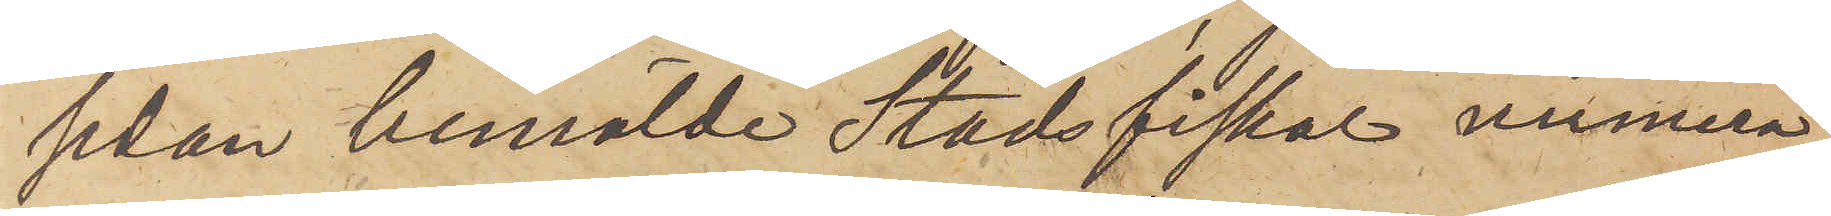sedan bemälde Stadsfiskal numera
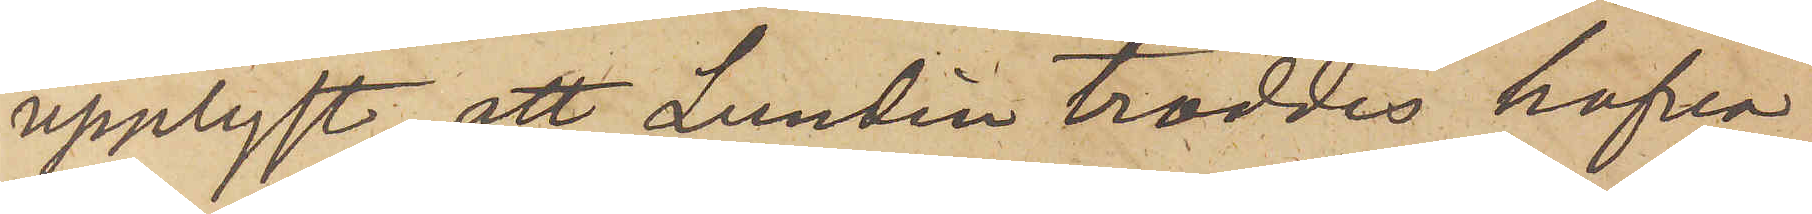upplyst, att Lundin troddes hafva
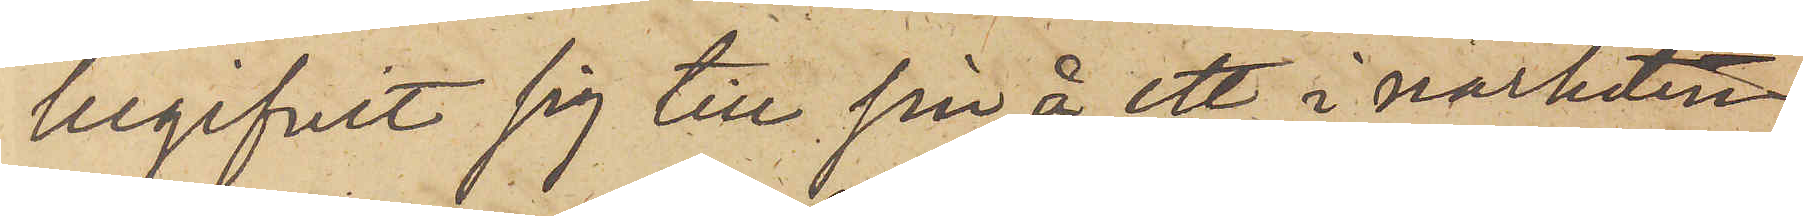begifvit sig till sin å ett i närheten
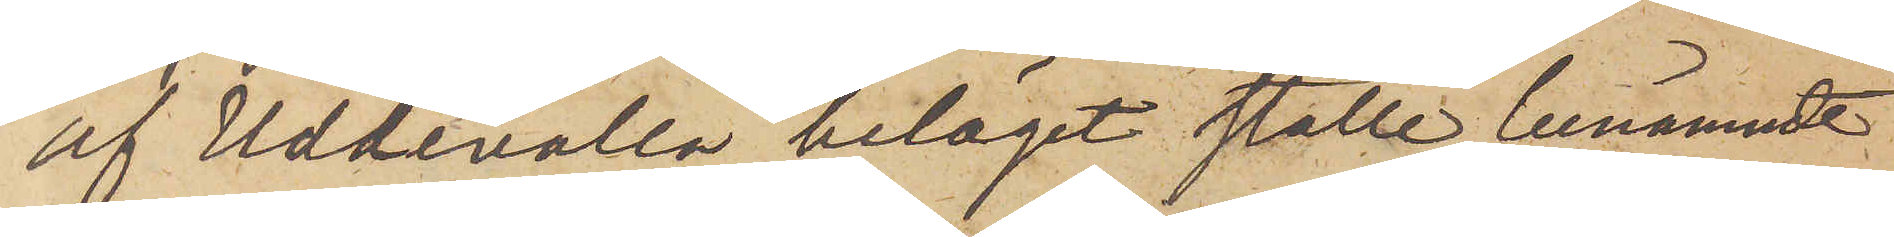af Uddevalla beläget ställe, benämndt
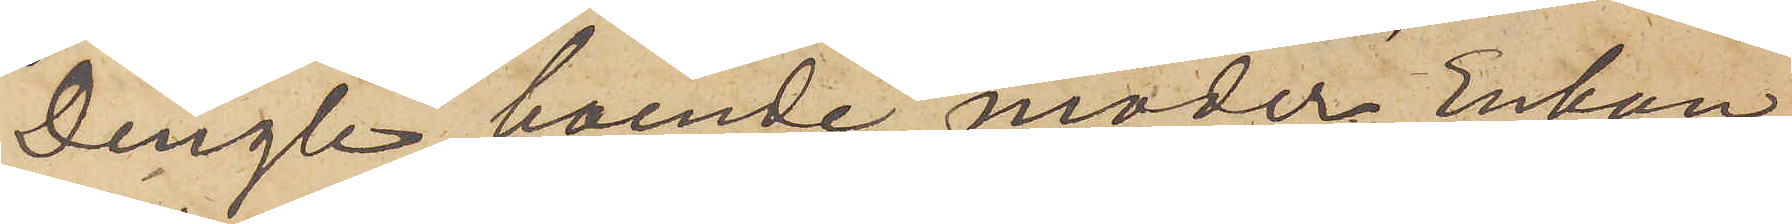Dingle, boende moder Enkan
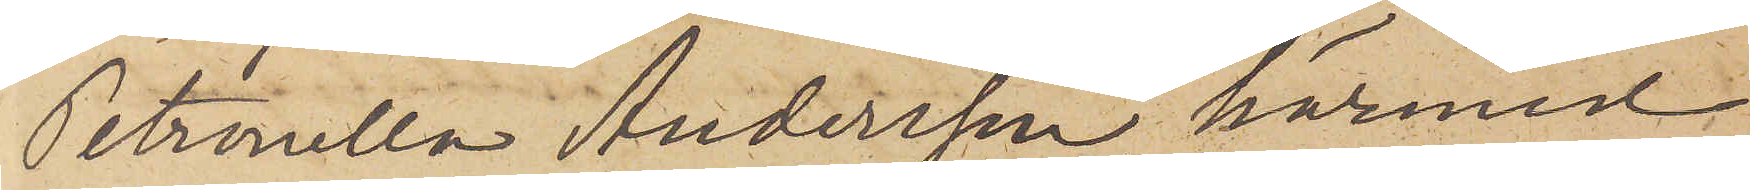Petronella Andersson, härmed
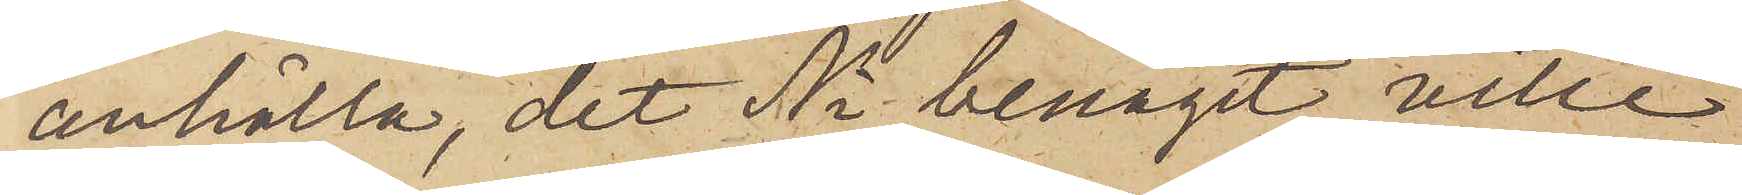anhålla, det Ni benäget ville
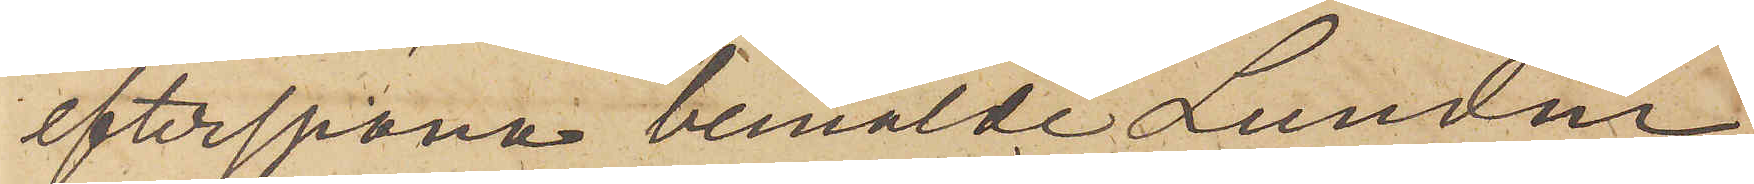efterspana bemälde Lundin
